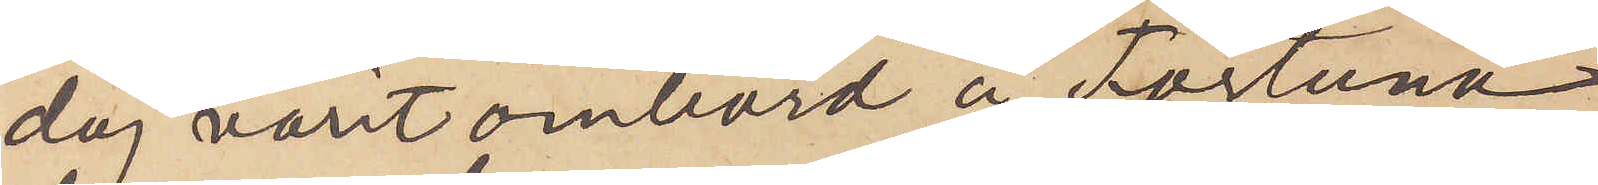dag varit ombord å Fortuna,
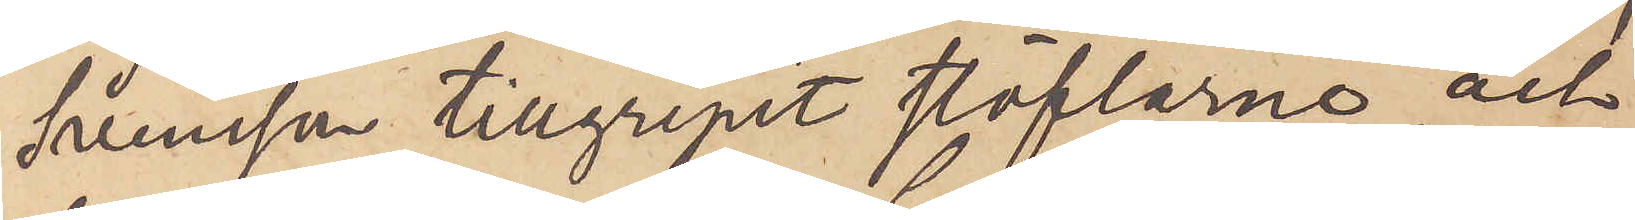Svensson tillgripit stöflarne och
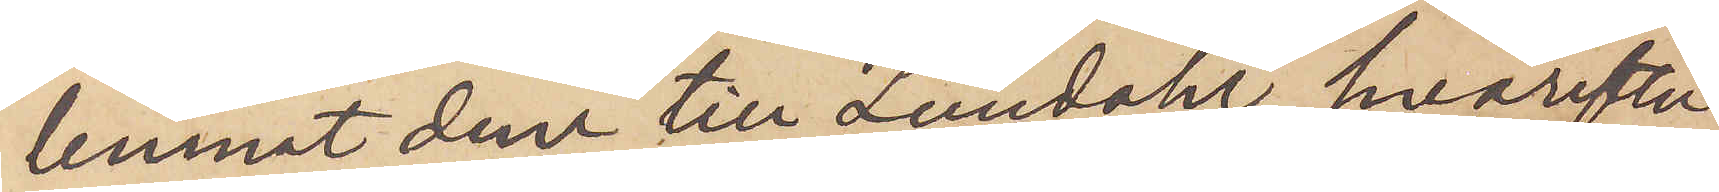lemnat dem till Lundahl, hvarefter
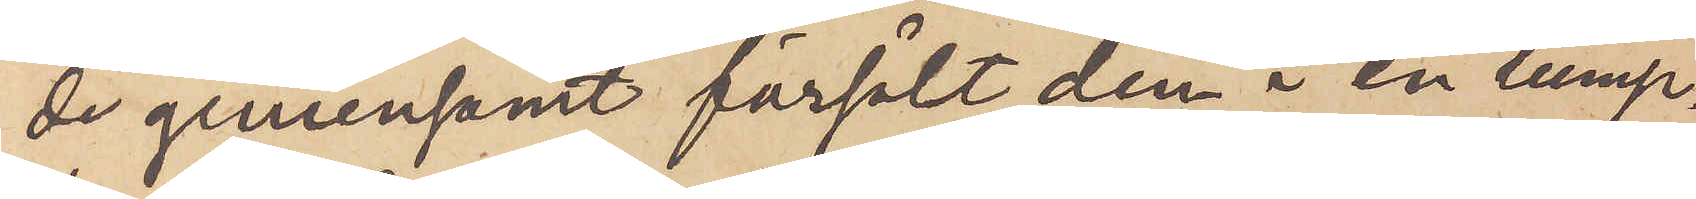de gemensamt försålt dem i en lump¬
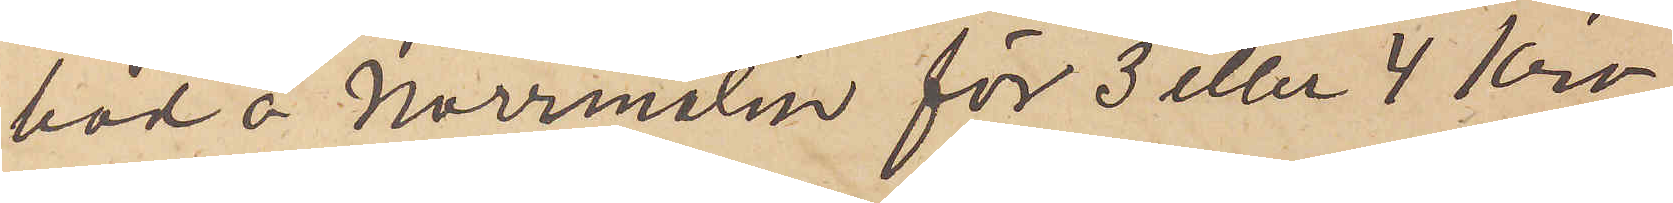bod å Norrmalm för 3 eller 4 Kro¬
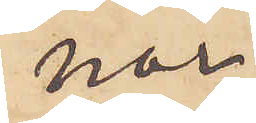nor.
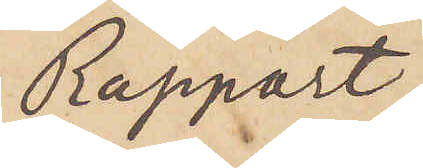Rapport
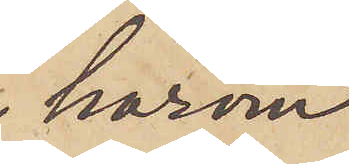härom
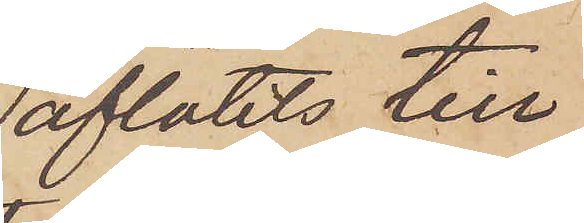aflåtits till
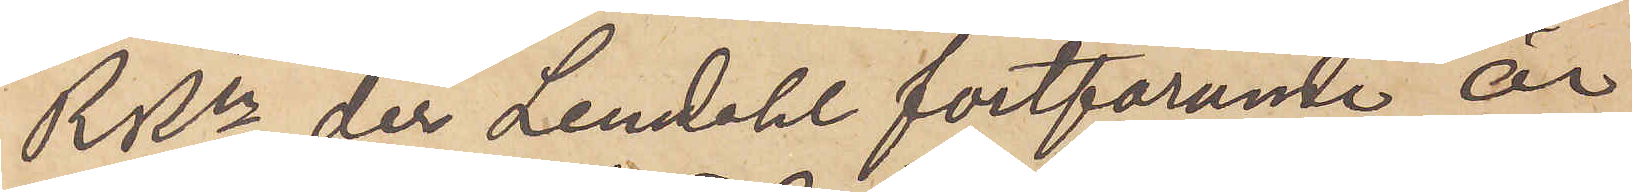RRn, der Lendahl fortfarande är
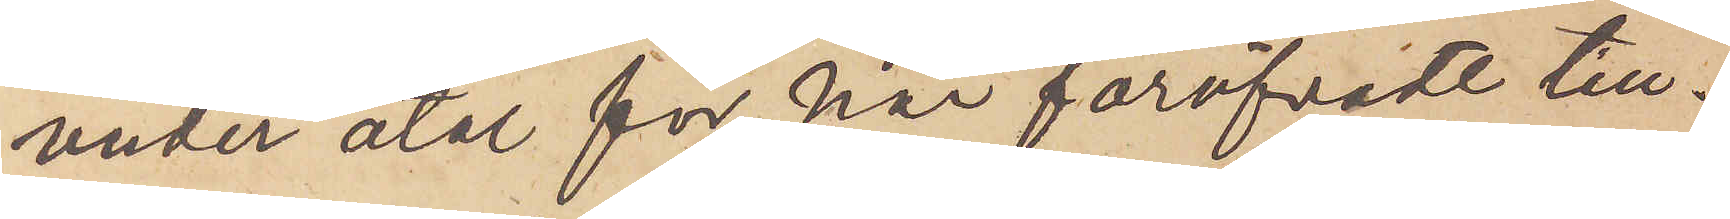under åtal för här föröfvade till¬
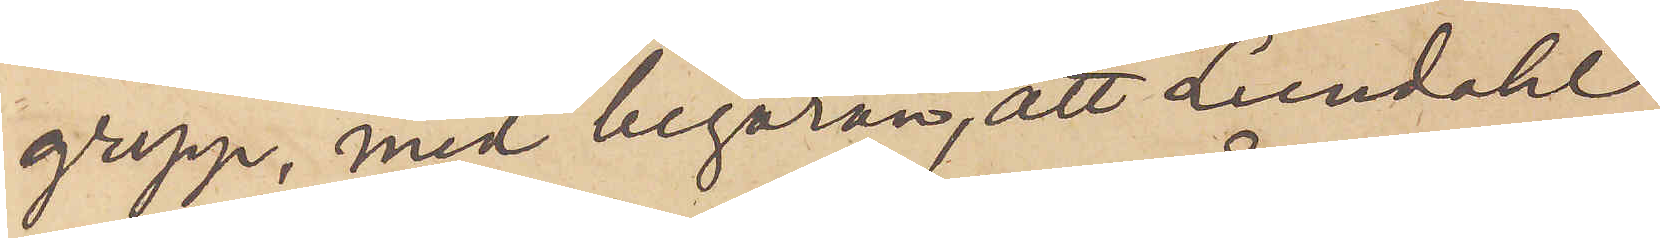grepp, med begäran, att Lundahl
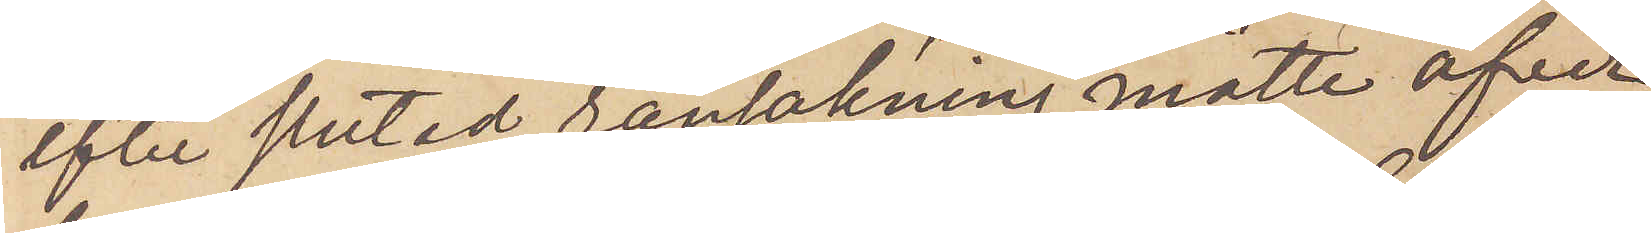efter slutad ransakning måtte öfver¬
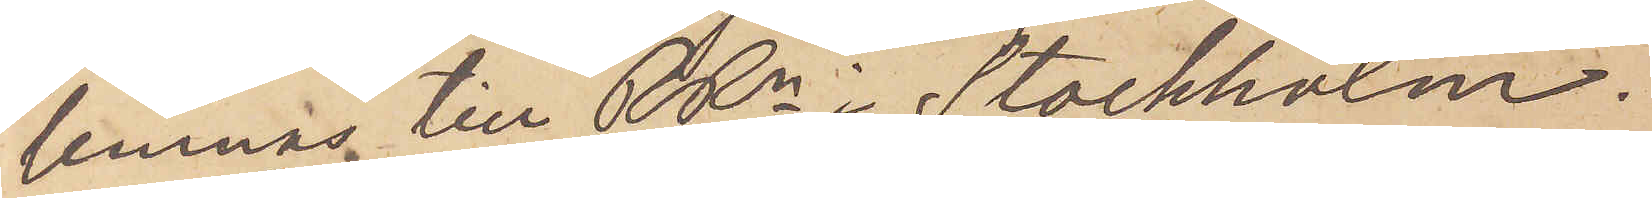lemnas till RRn i Stockholm.
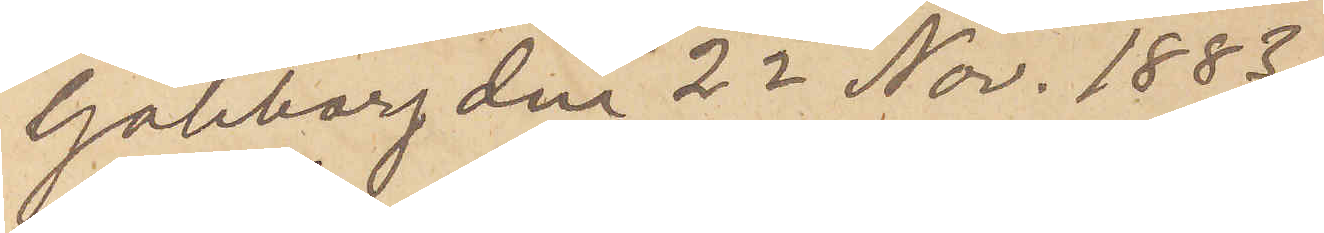Göteborg den 22 Nov. 1883.
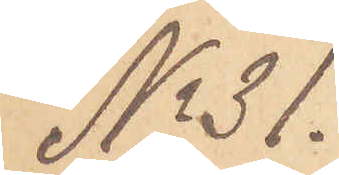No 31.
